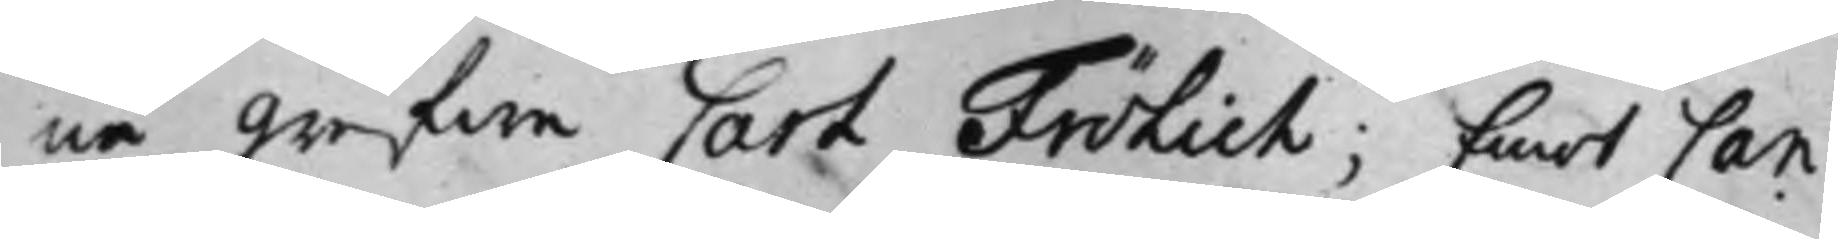ne Grefwe Carl Frölich; Emot Can¬
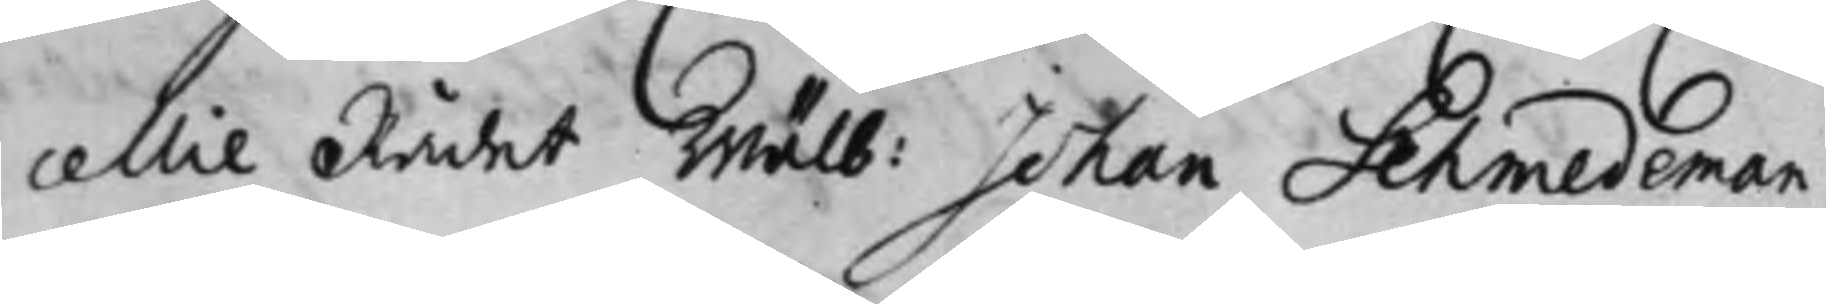cellie Rådet Wälb: Johan Schmedeman,
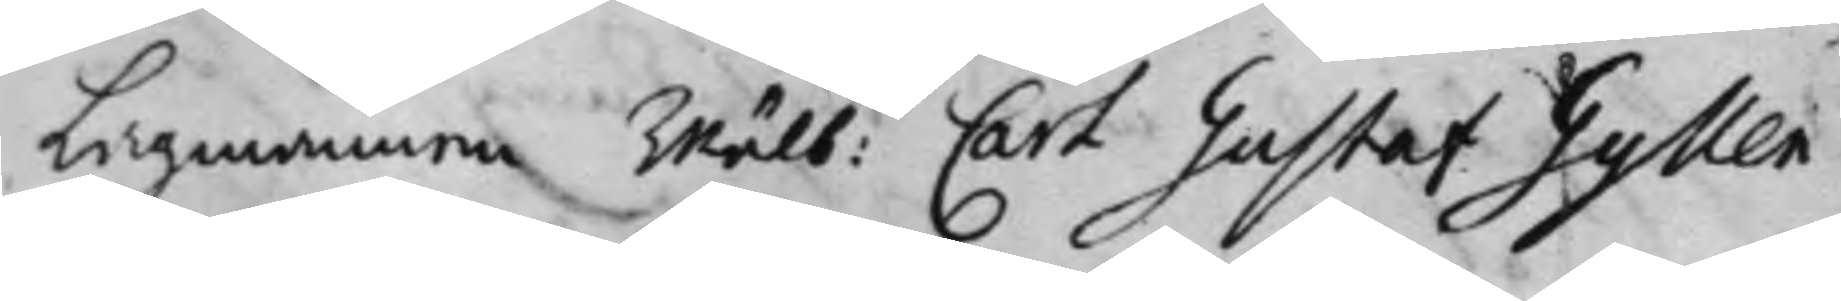Lagmannen Wälb: Carl Gustaf Gyllen¬
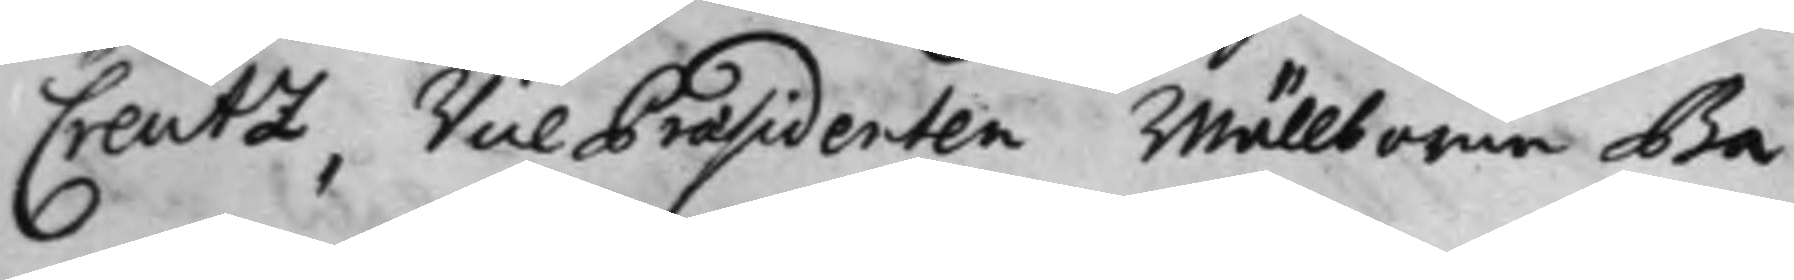Creutz, Vice Praesidenten Wällborne Ba¬
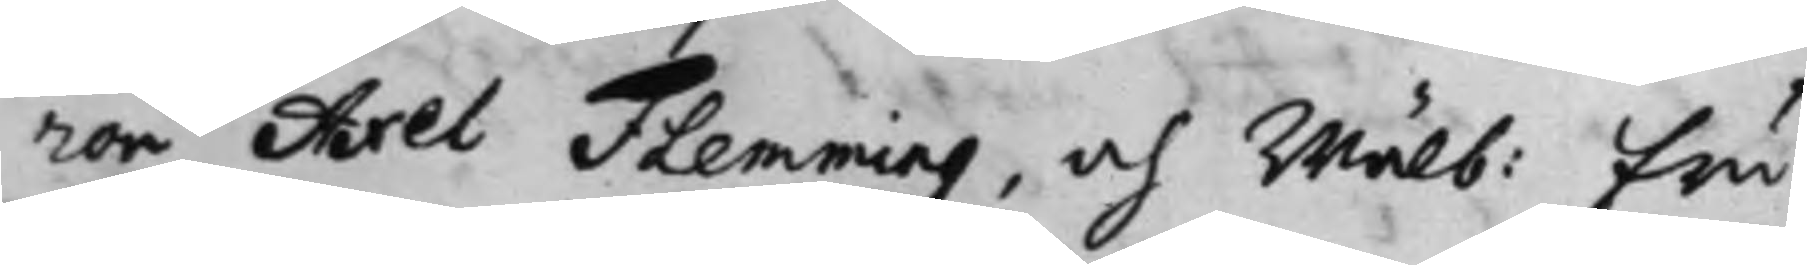ron Axel Flemming, och Wälb: Fru
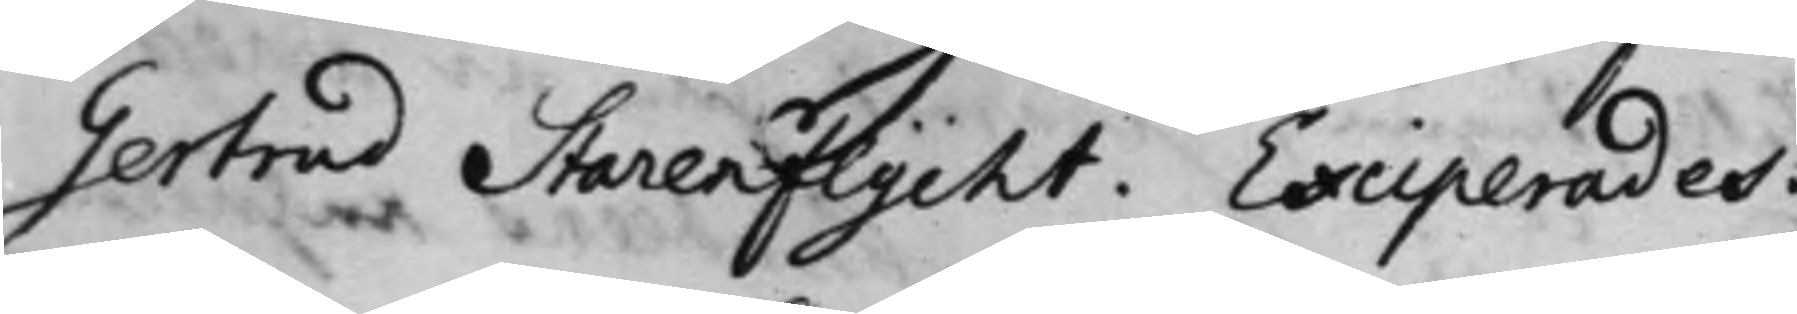Gertrud Starenflycht. Exciperades.
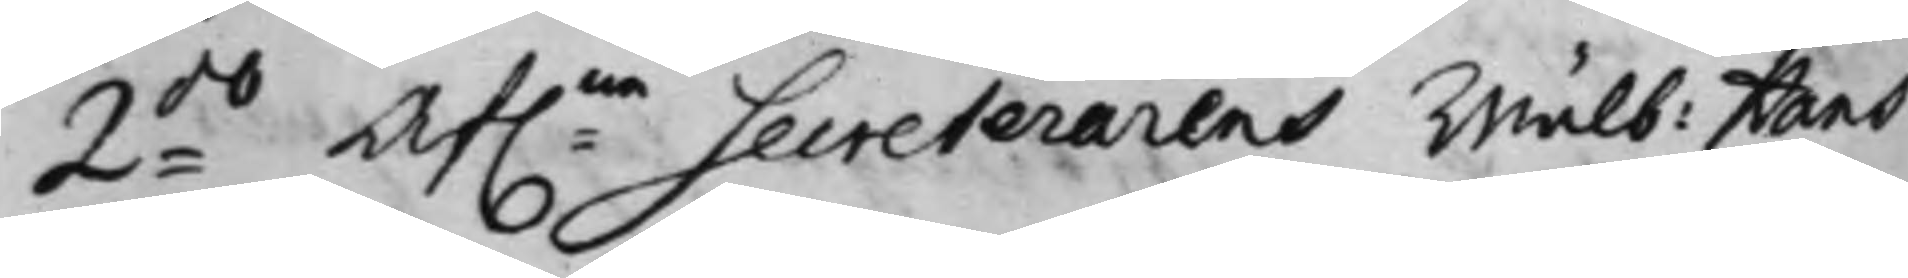2:do Af:ne Secreterarens Wälb: Hans
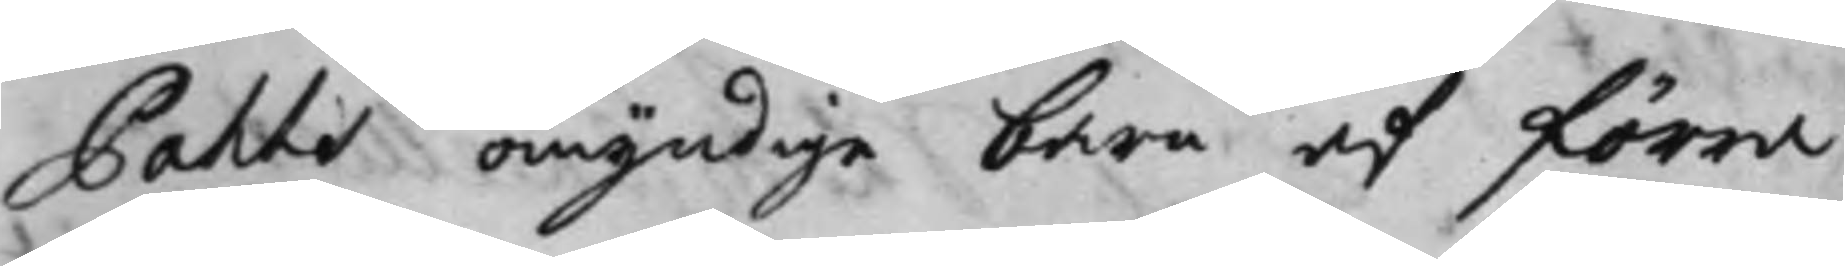Pahls omyndige barn af Förra
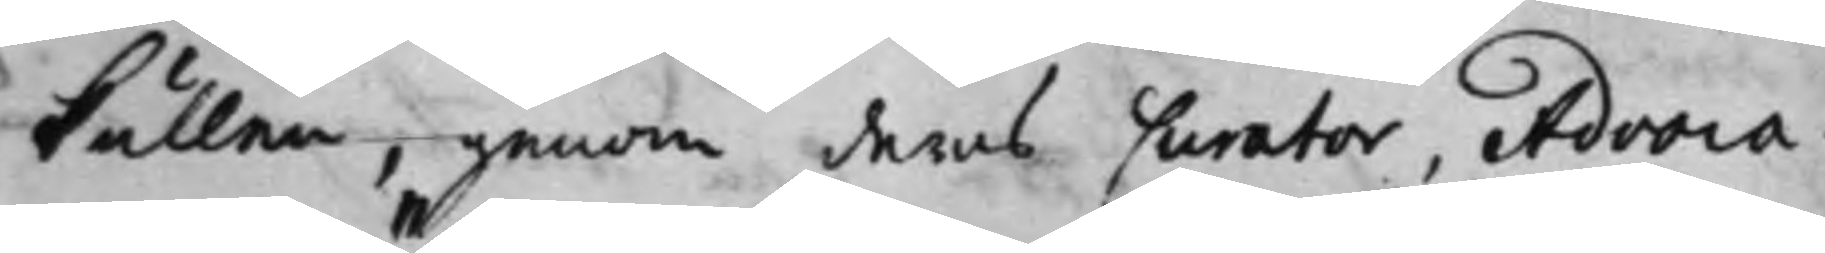kullen, genom deras Curator, Advoca¬
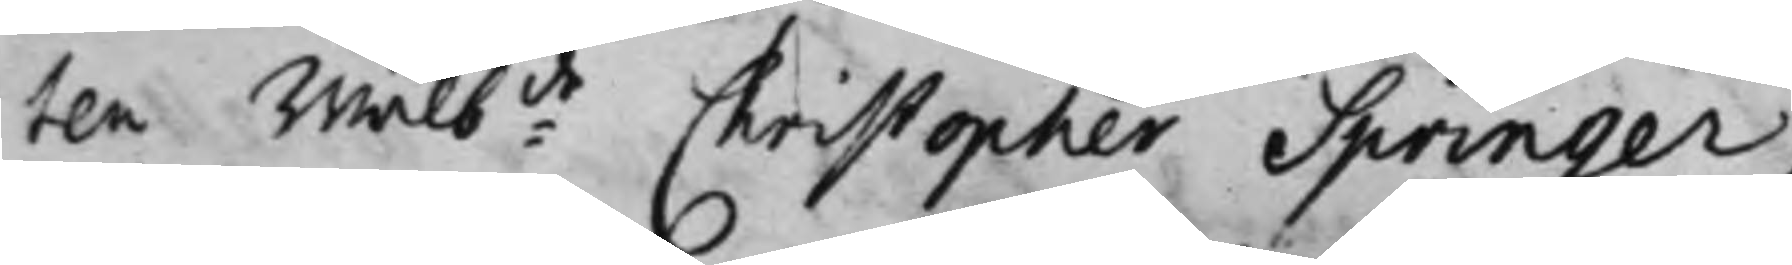ten Wälb:de Christopher Springer;
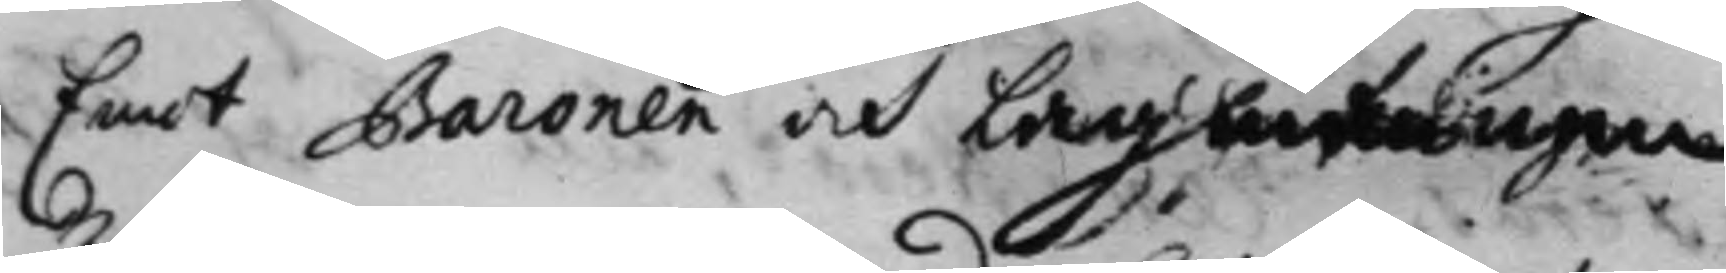Emot Baronen och Lagmannen
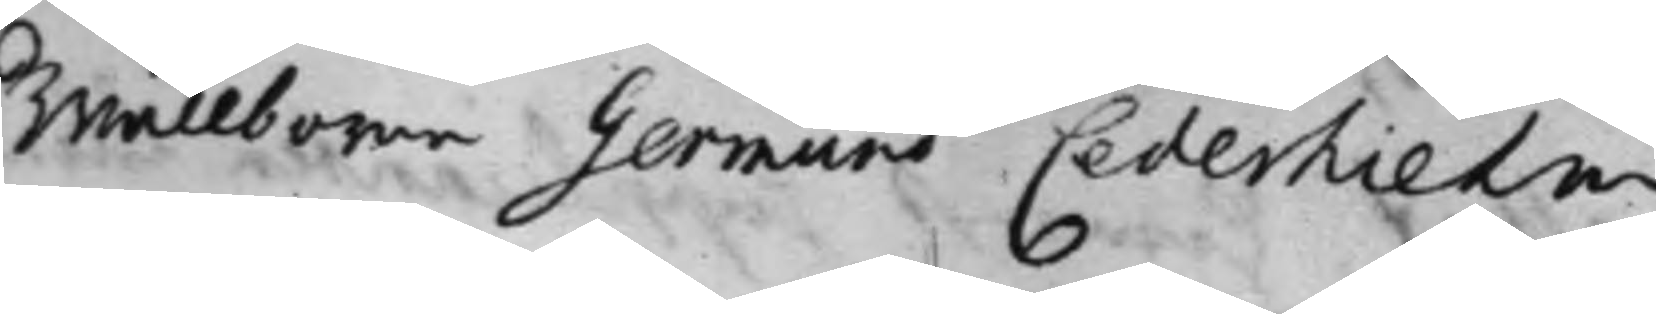Wällborne Germund Cederhielm,
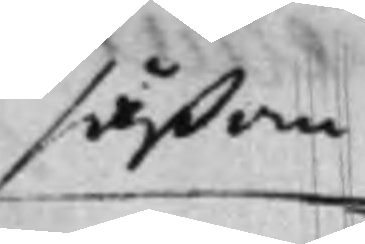såßom
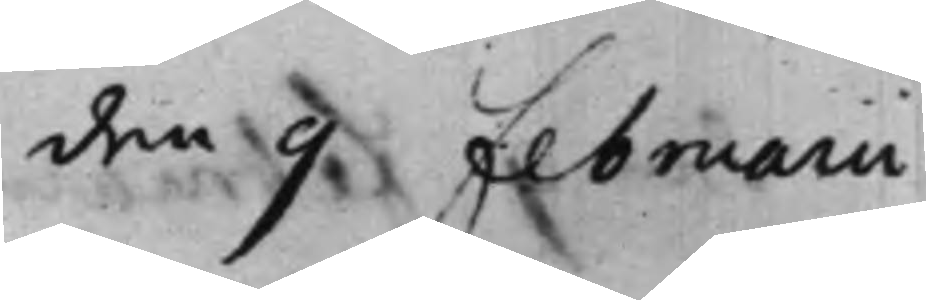den 9 Februarii
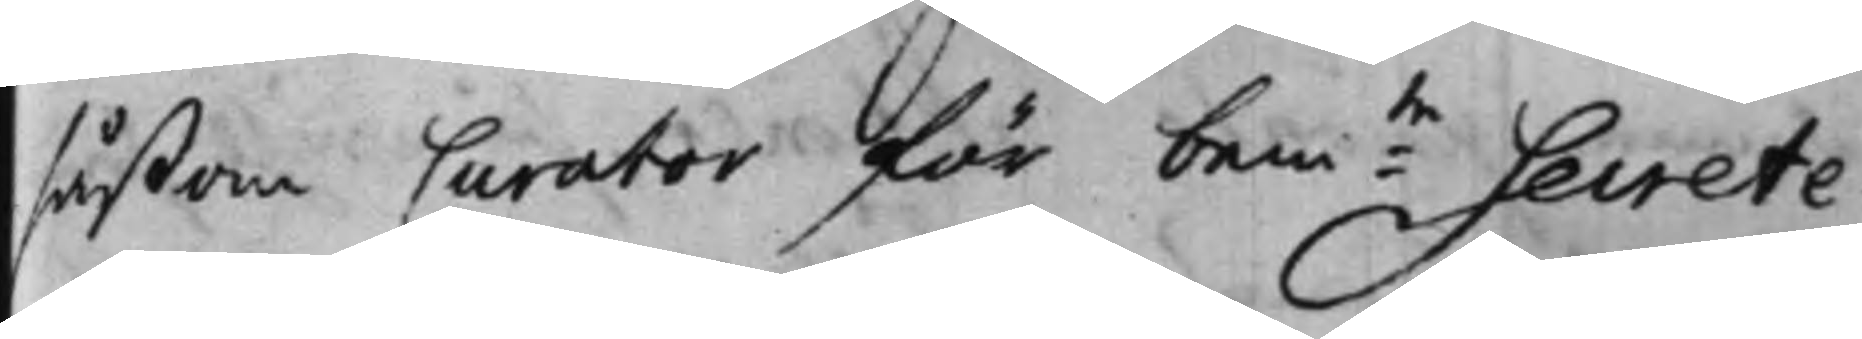såßom Curator för bem:te Secrete¬
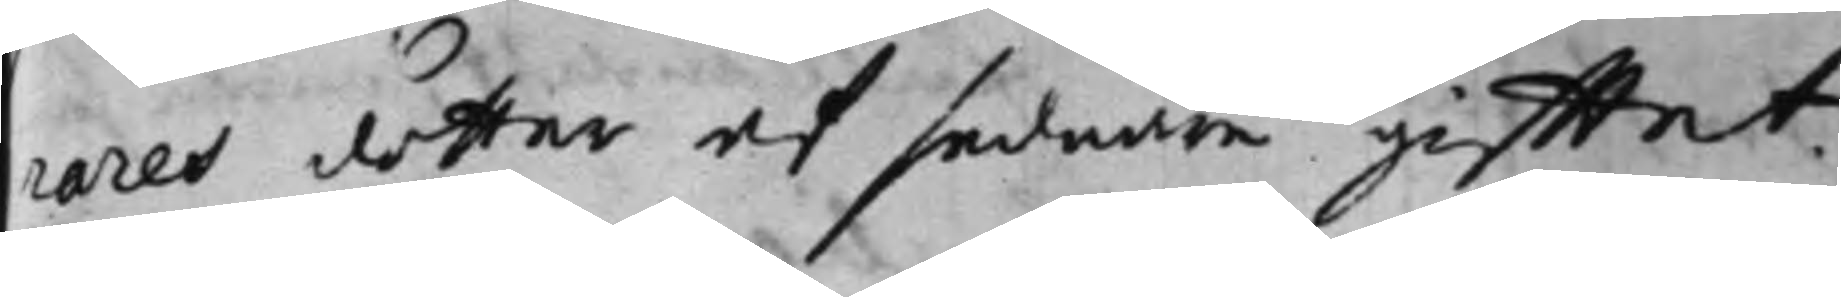rares dotter af sednare gifftet.
